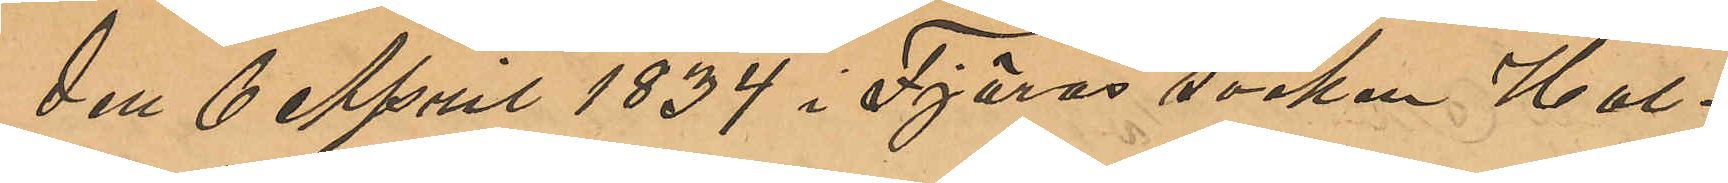den 6 April i Fjärås socken Hal¬
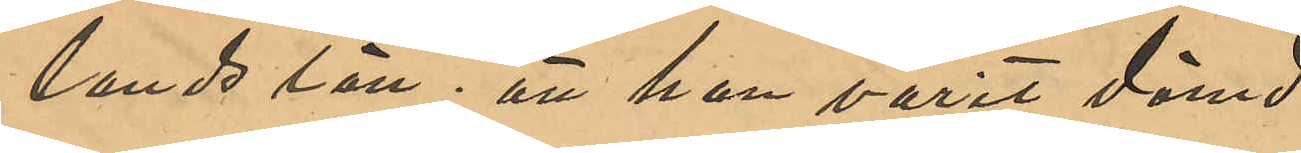lands län; att han varit dömd
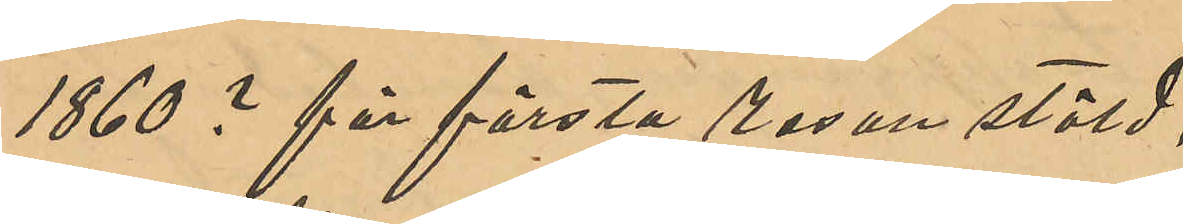1860 ? för första resan stöld;
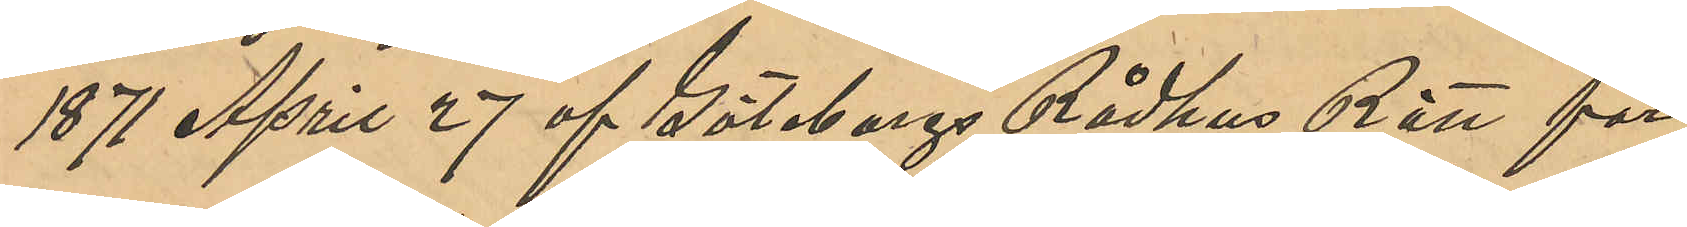1871 April 27 af Göteborgs Rådhus Rätt för
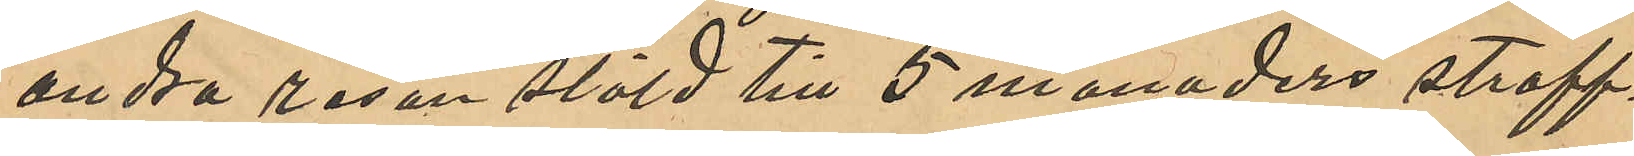               andra resan stöld till 5 månaders straff¬
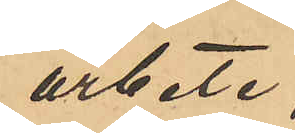arbete;
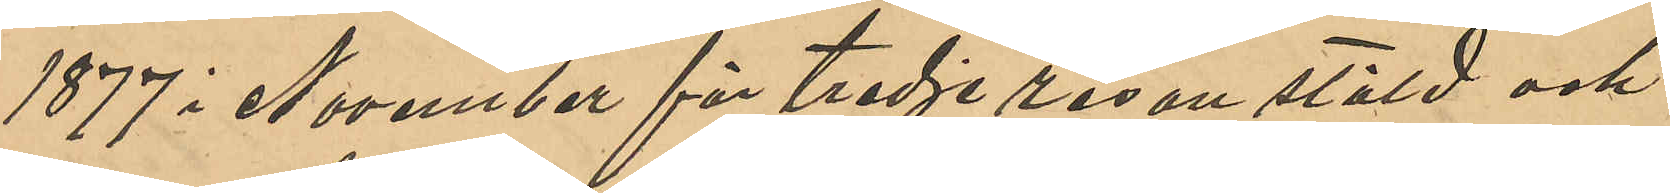1877 i November för tredje resan stöld och
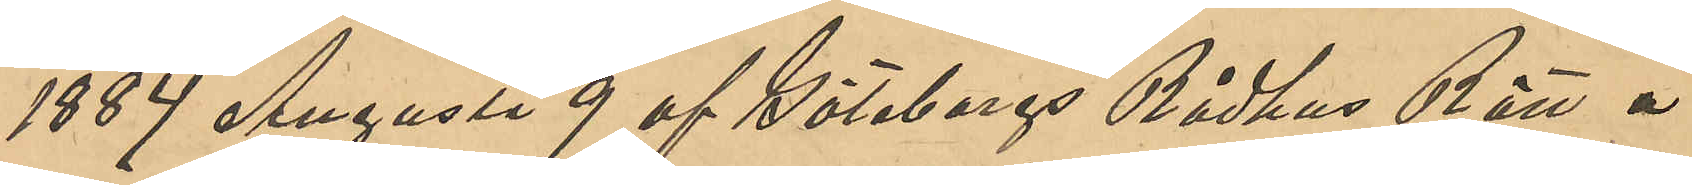1884 Augusti 9 af Göteborgs Rådhusrätt å
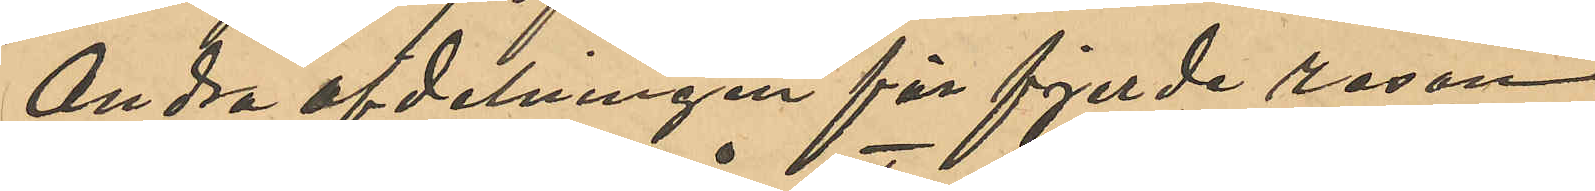Andra afdelningen för fjerde resan
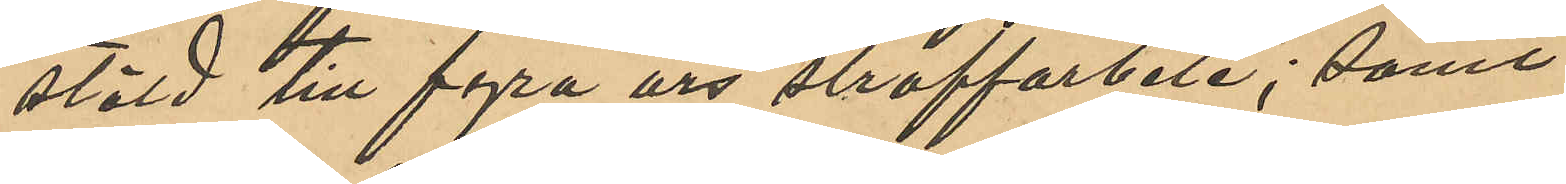stöld till fyra års straffarbete; samt
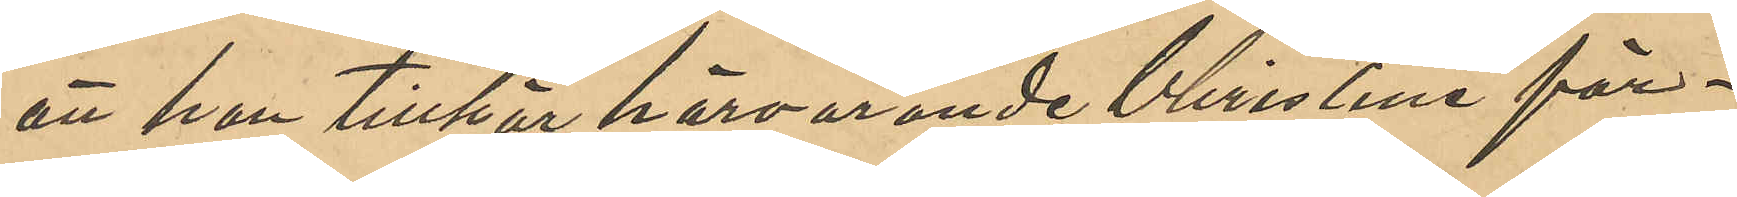att han tillhör härvarande Christine för¬
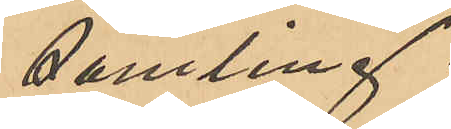samling.
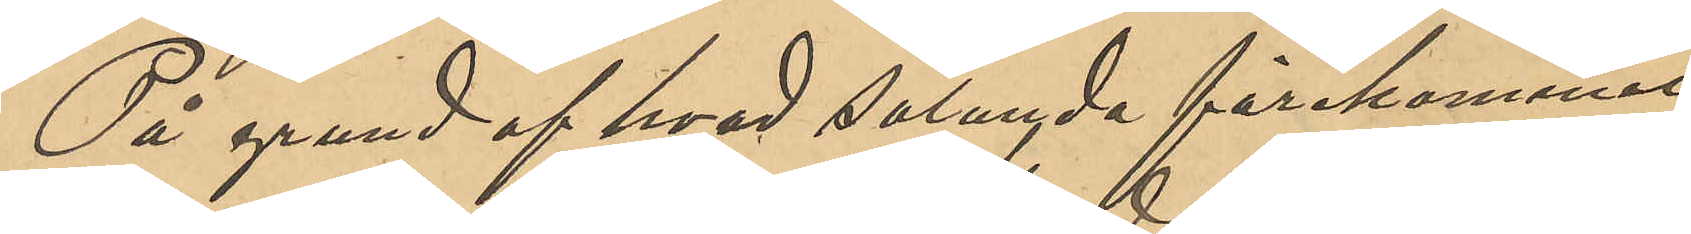På grund af hvad sålunda förekommit
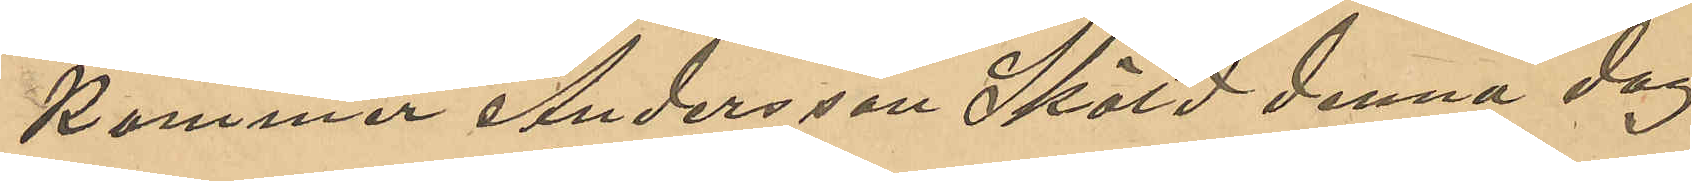kommer Andersson Sköld denna dag
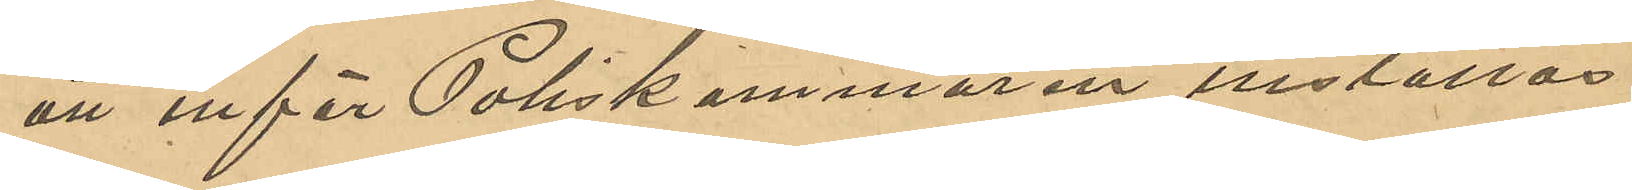att inför Poliskammaren installas.
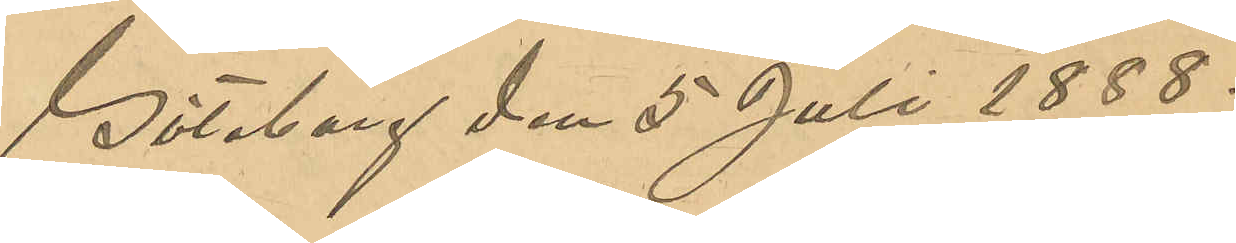Göteborg den 5 Juli 1888.
